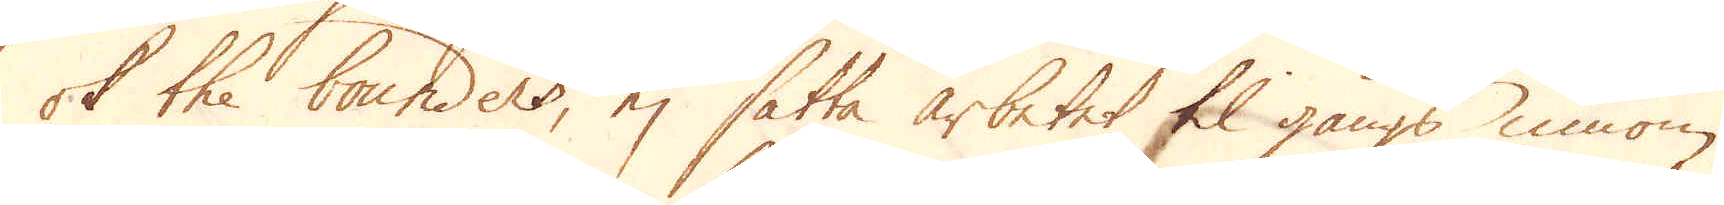ok the bounders, ej sätta arbetet til gångs innom
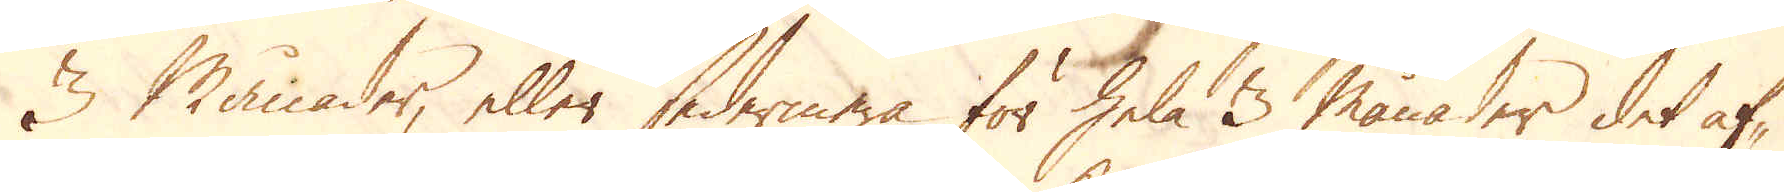3 månader, eller sedermera för hela 3 månader det af-
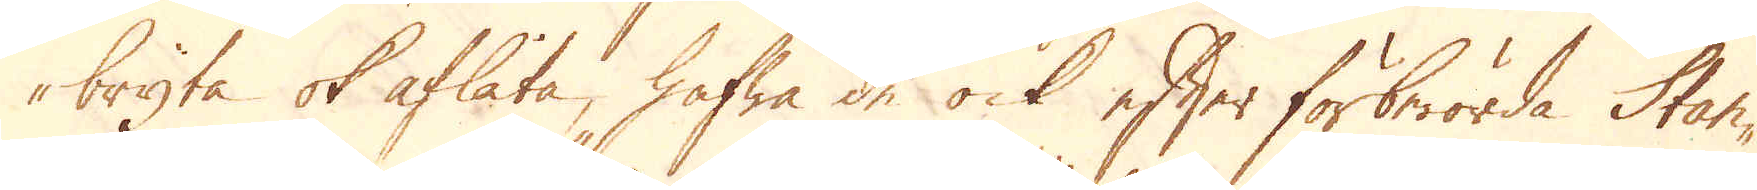bryta ok aflåta, hafwa de ock efter förberörda Stan-
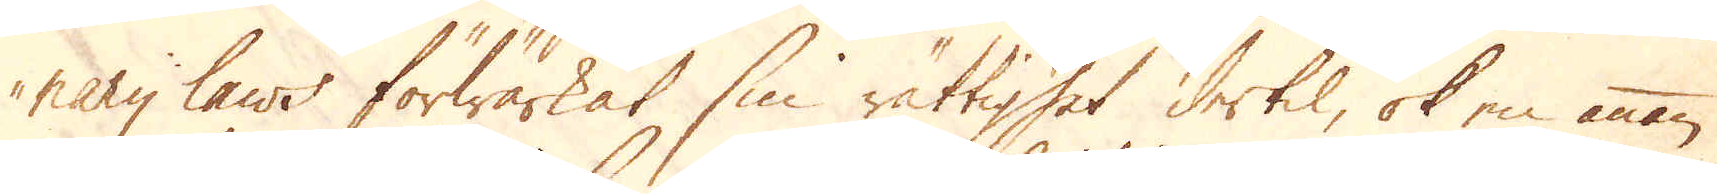nary laws förwärkat sin rättighet dertil, ok en annan
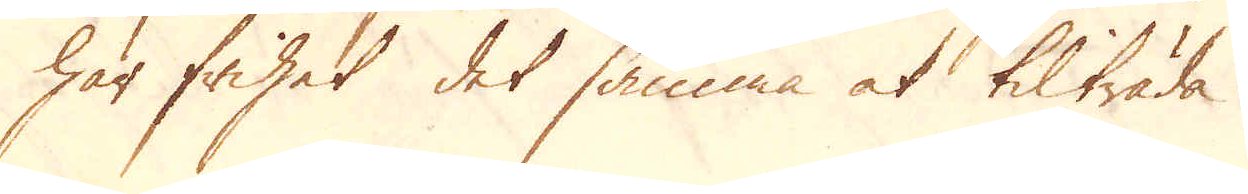har frihet det samma at tilträda.
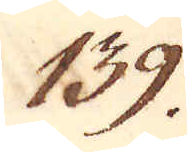139.
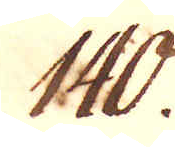140.
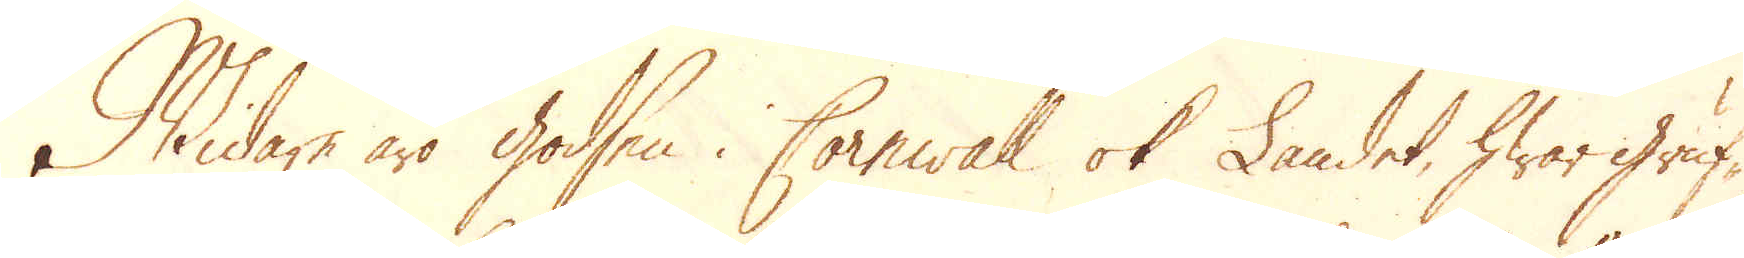Widare äro godsen i Cornwall ok Landet, hwar gruf-
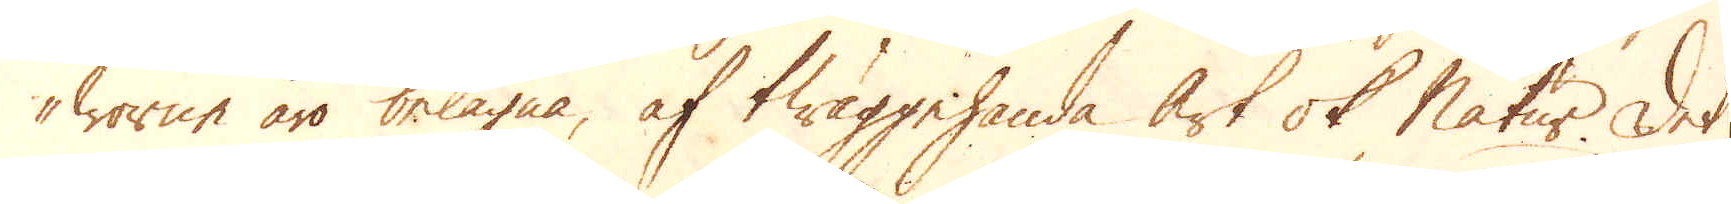worne äro belägna, af twäggehanda art ok Natur. Det
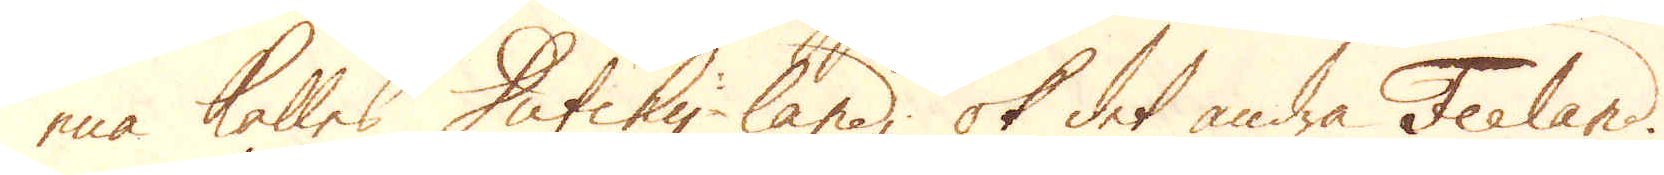ena kalles Dutehy-land; ok det andra Feeland.
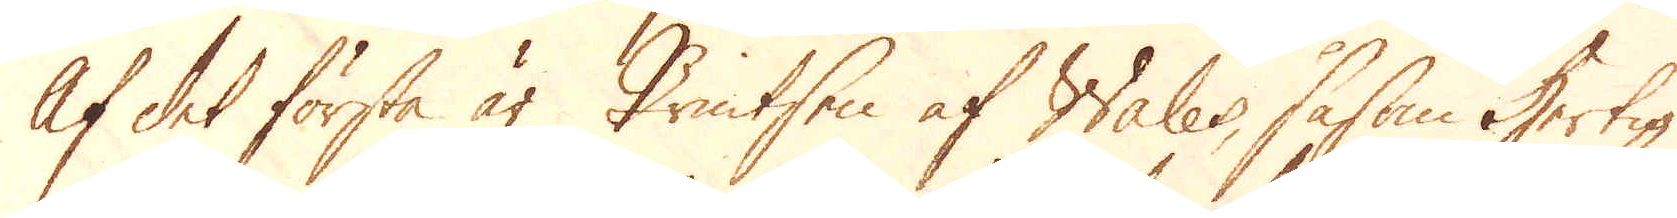Af det första är Printsen af Wales, såsom Hertig
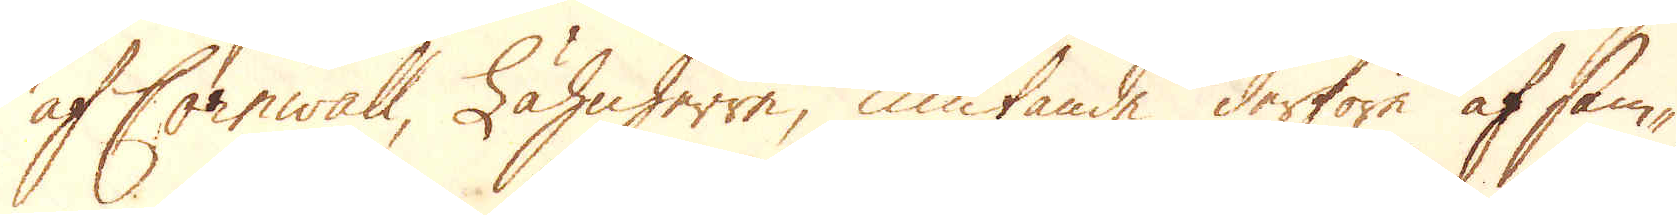af Cornwall, Lähnherre, niutande derföre af sam-
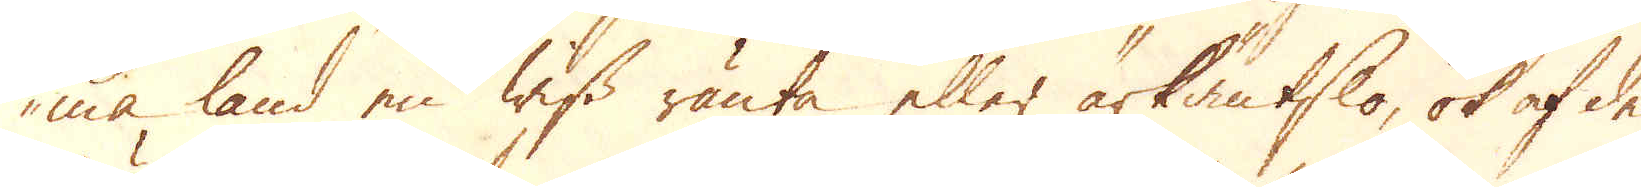ma land en wiss ränta eller ärkäntslo, ok af de
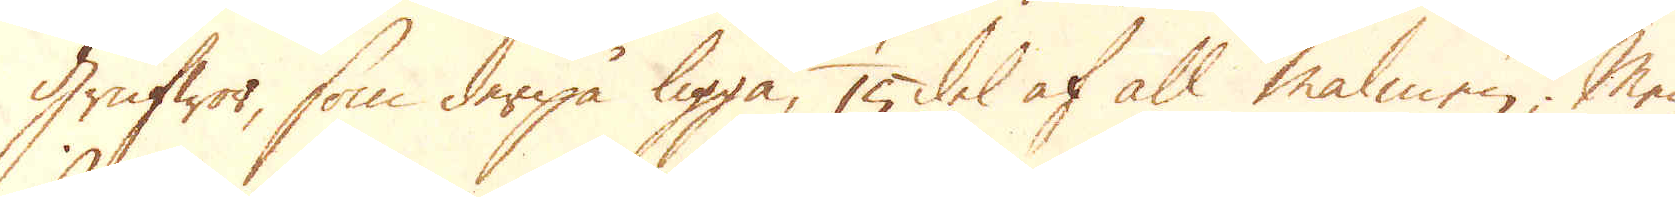Grufwor, som derpå ligga, 1/15 del af all malmen; Men
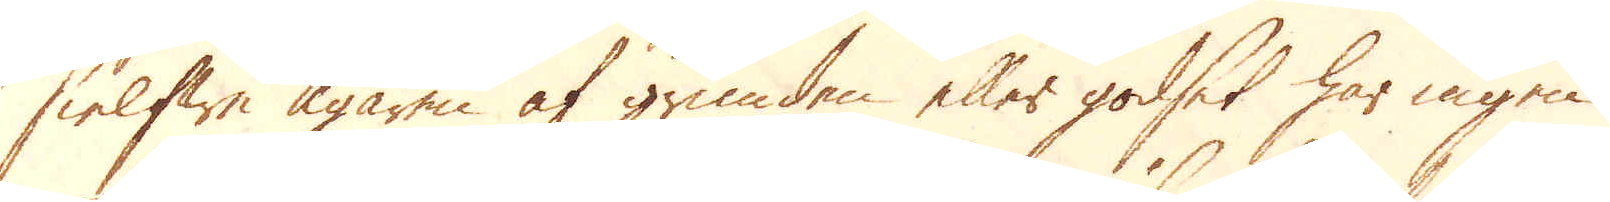sielfwe Ägaren af grunden eller godset har ingen
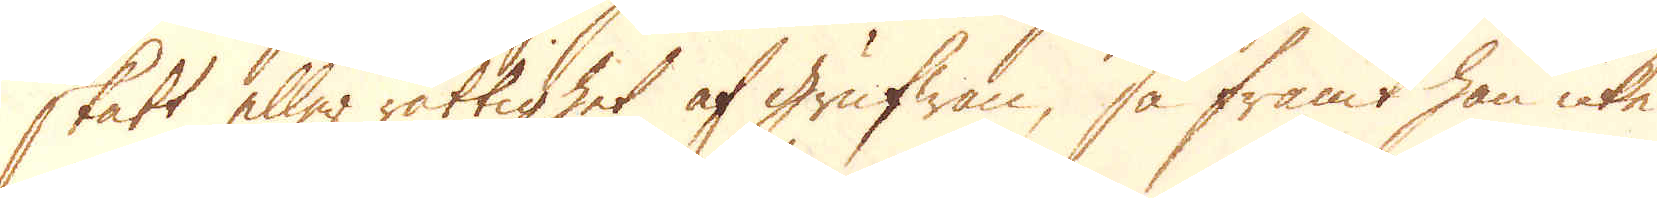skatt eller rättighet af grufwan, så framt han icke
